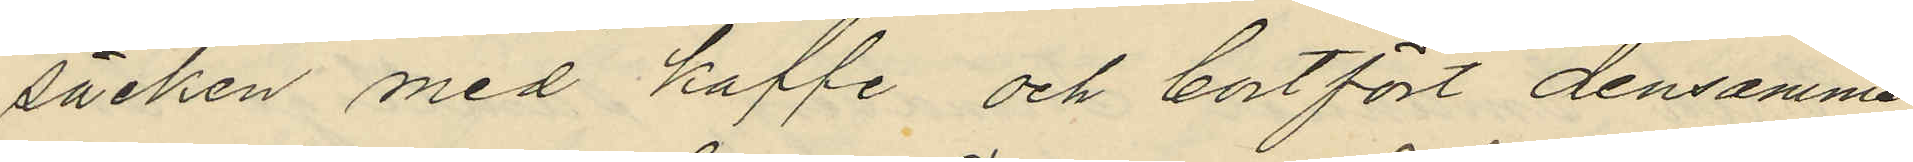säcken med kaffe och bortfört densamma
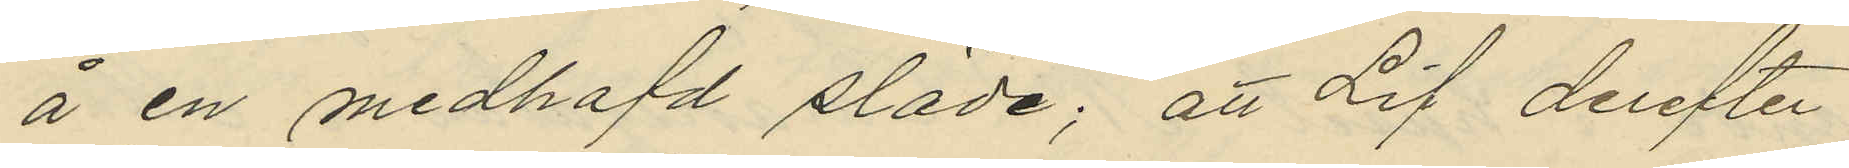å en medhafd släde; att Lif derefter
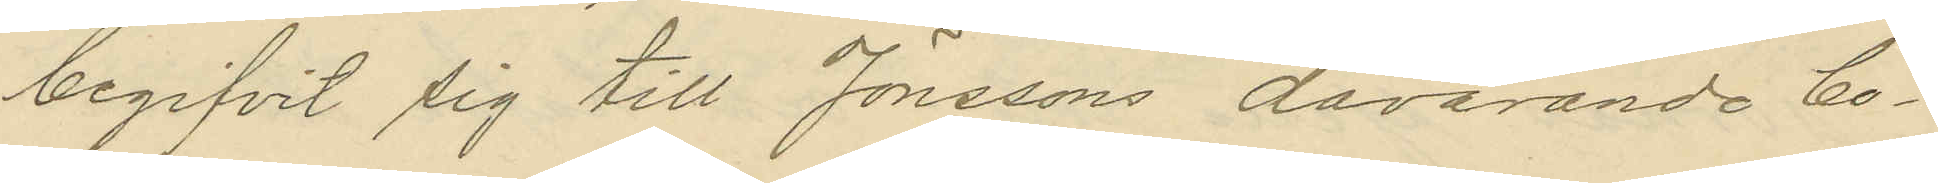begifvit sig till Jonssons dåvarande bo¬
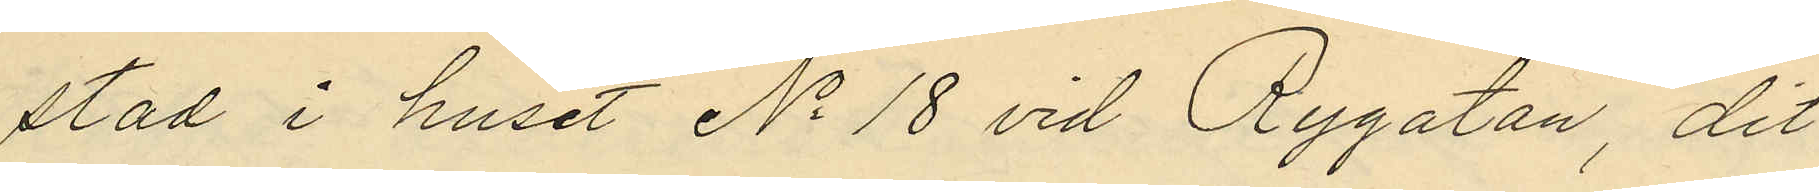stad i huset No 18 vid Rygatan, dit
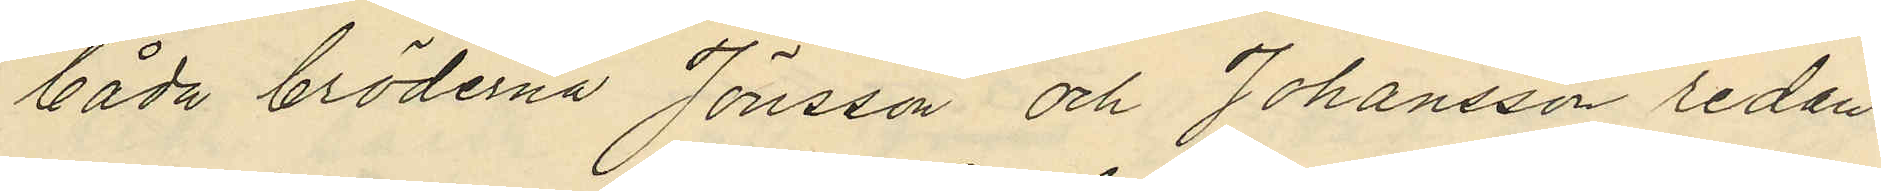båda bröderna Jönsson och Johansson redan
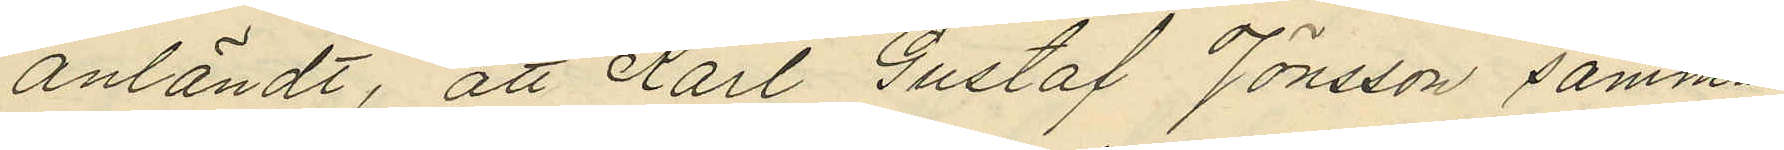anländt, att Karl Gustaf Jönsson samma
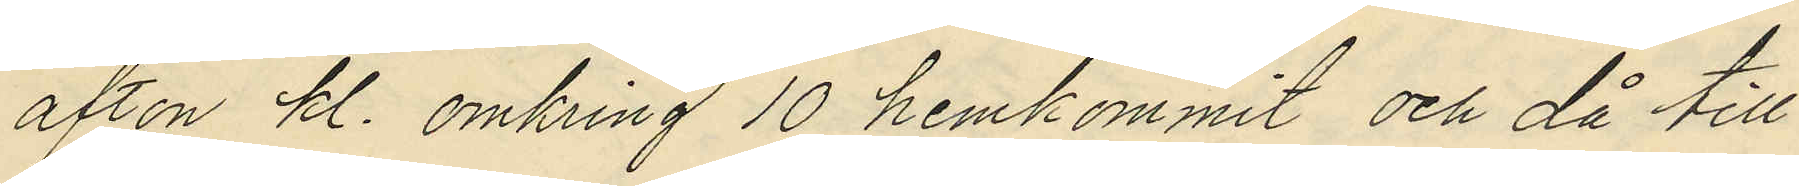afton kl. omkring 10 hemkommit och då till
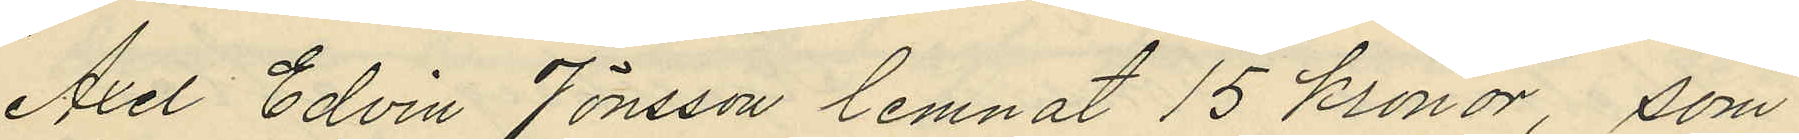Axel Edvin Jönsson lemnat 15 Kronor, som
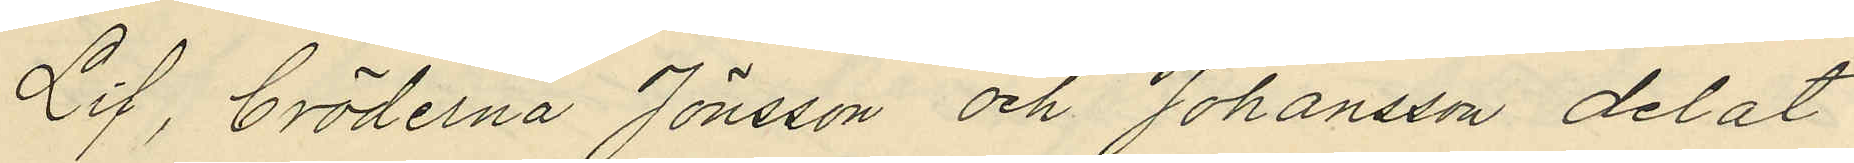Lif, bröderna Jönsson och Johansson delat
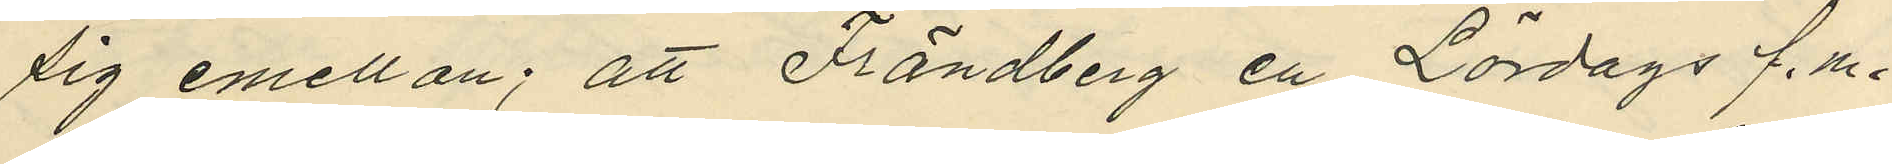sig emellan; att Frändberg en Lördags f.m.
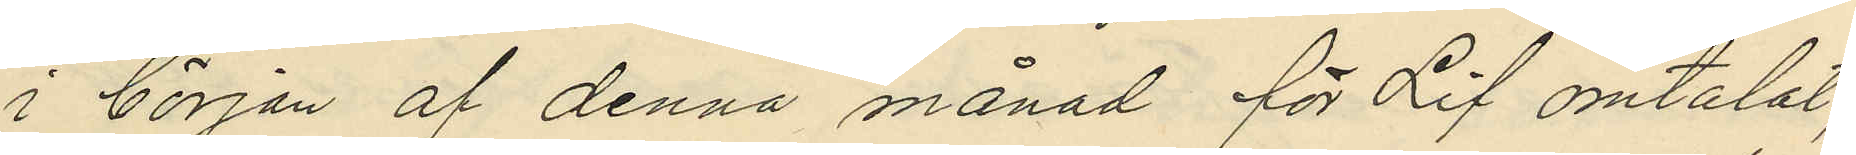i början af denna månad för Lif omtalat,
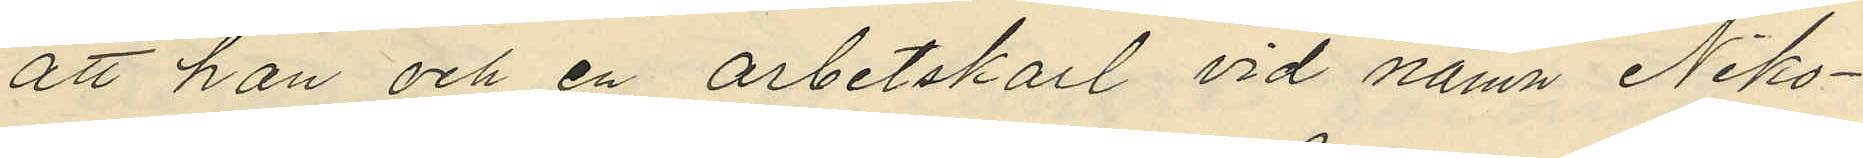att han och en arbetskarl vid namn Niko¬
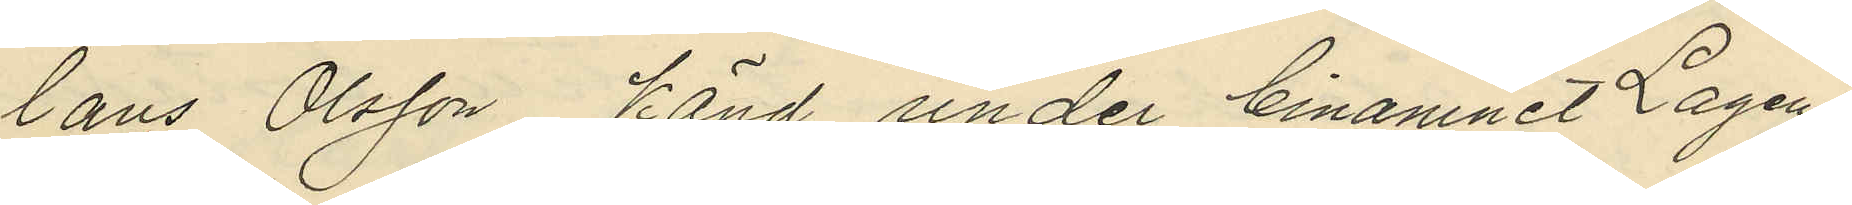laus Olsson känd under binamnet Lagen,
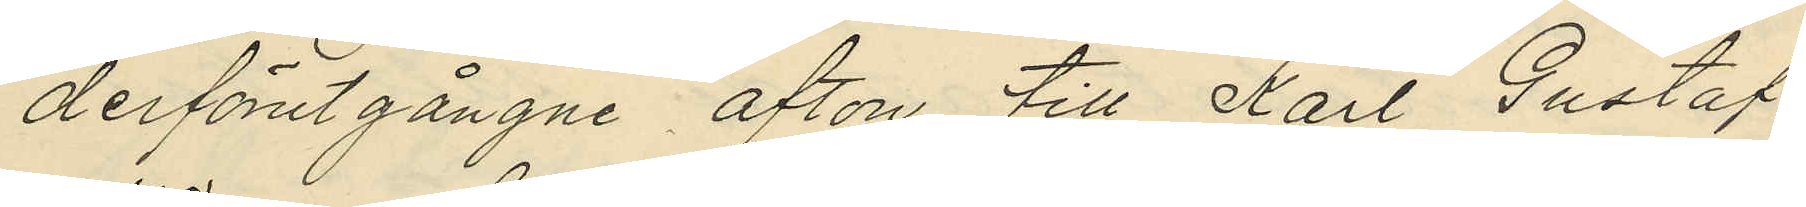derförutgångne afton till Karl Gustaf
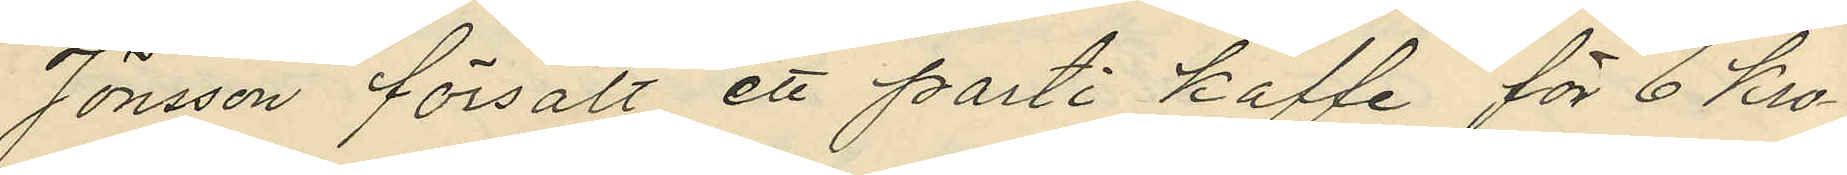Jönsson försålt ett parti kaffe för 6 kro¬
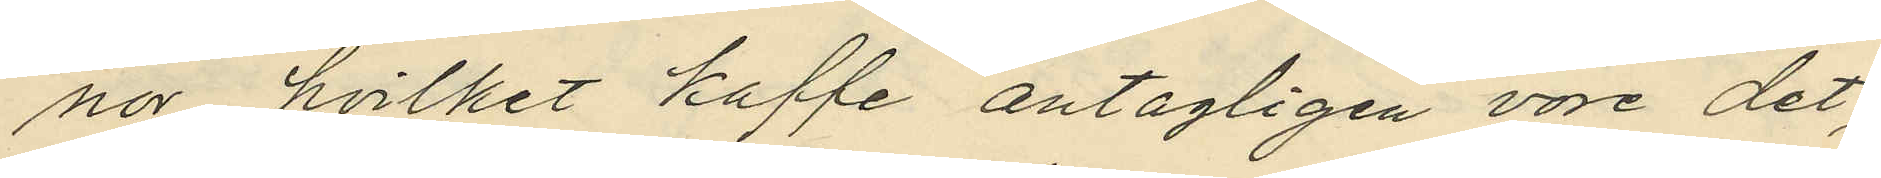nor, hvilket kaffe antagligen vore det,
